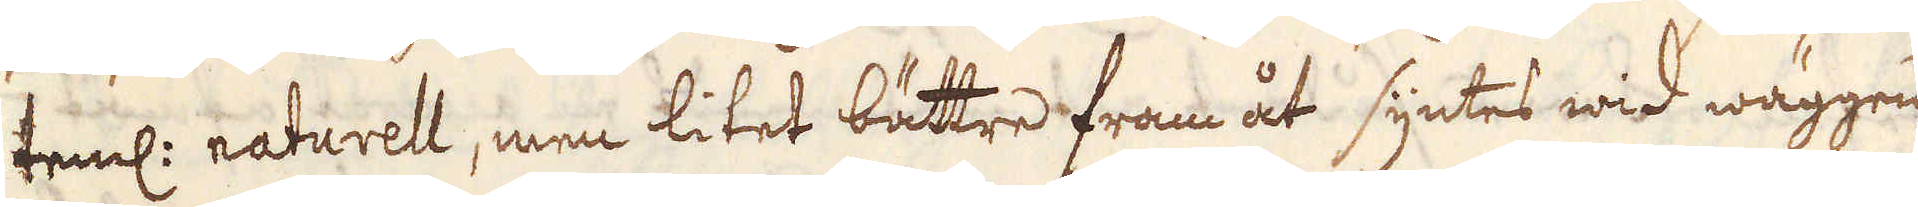teml: naturell, men litet bättre fram åt syntes wid wäggen
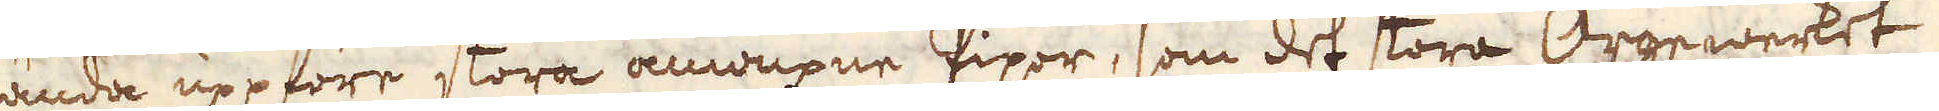ända uppföre stora anwuxne Pipor, som det stora Orgewerket 
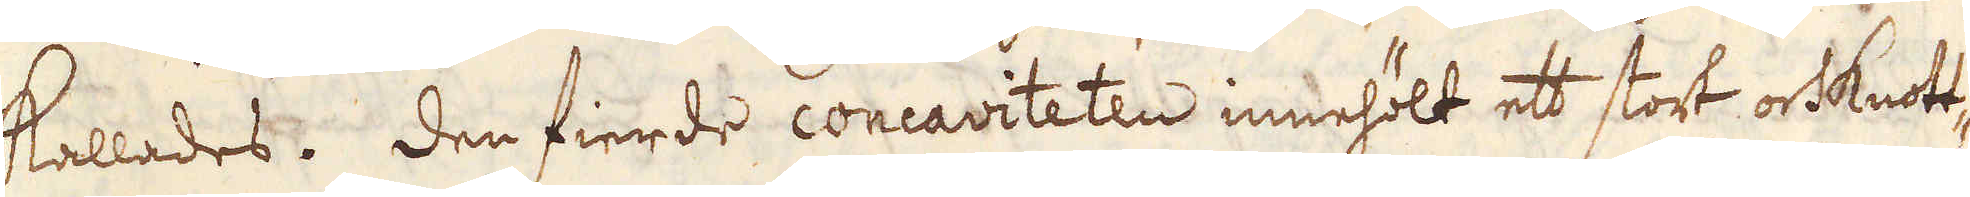kallades. Den fierde concaviteten innehölt ett stort orsknott-
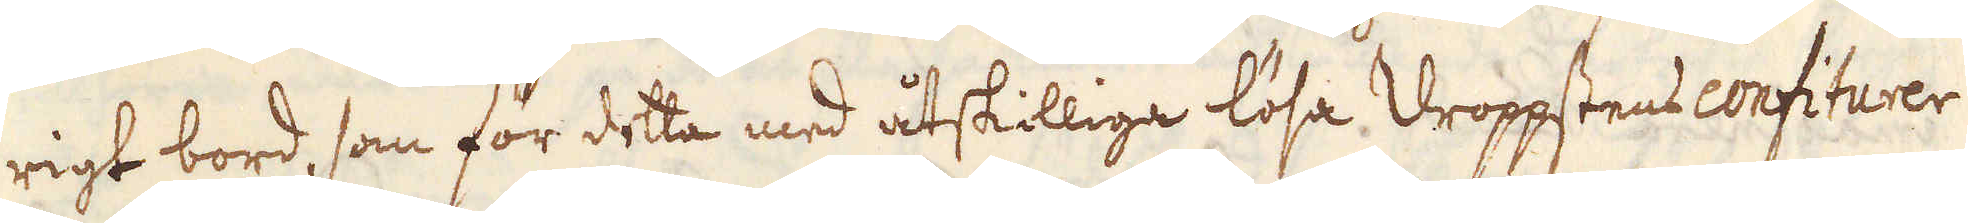rigt bord, som för detta med åtskilliga lösa droppstens confiturer
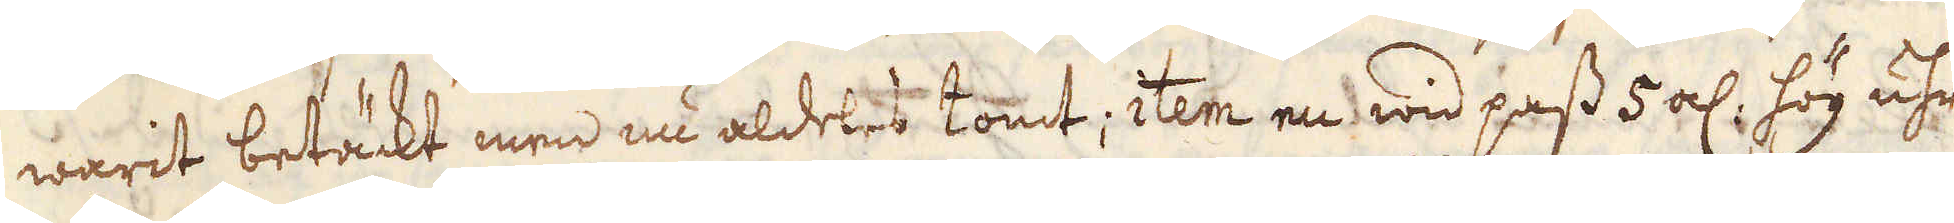warit betäckt men nu aldeles tomt; item en wid pass 5 al, hög uhr-
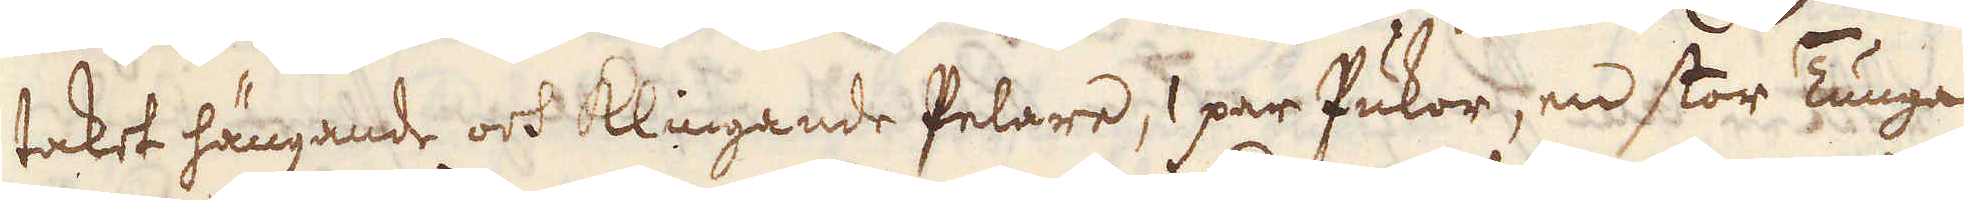taket hängande och klingande Pelare, 1 par Pukor, en stor Tunga
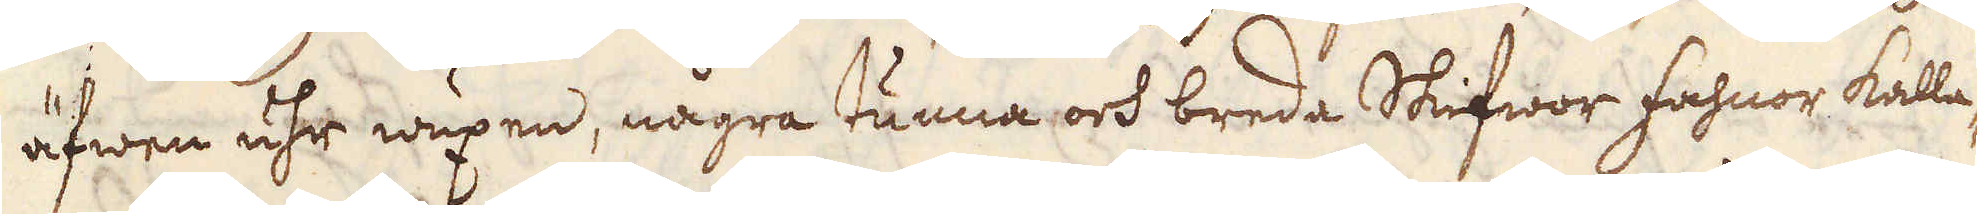äfwen uhr wäxen, några tunna och breda Skifwor fahnor kalla-
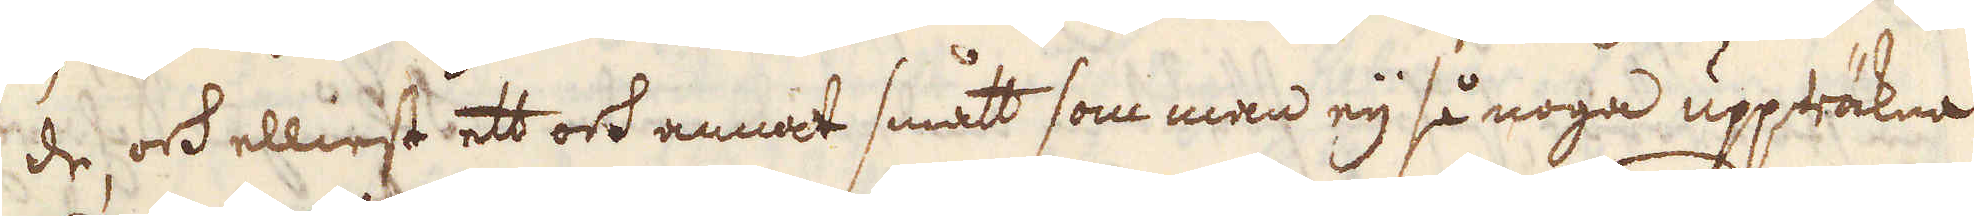de, ock elliest ett och annat smått som man eij så noga uppräkna
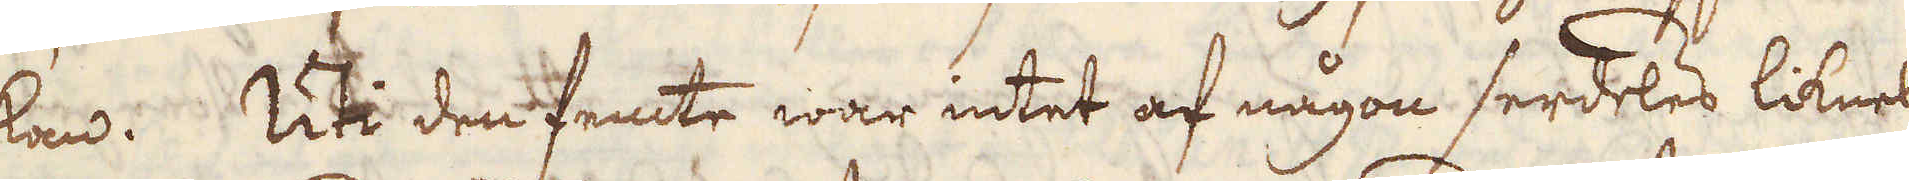kan. Uti den femte war intet af någon serdeles liknel-
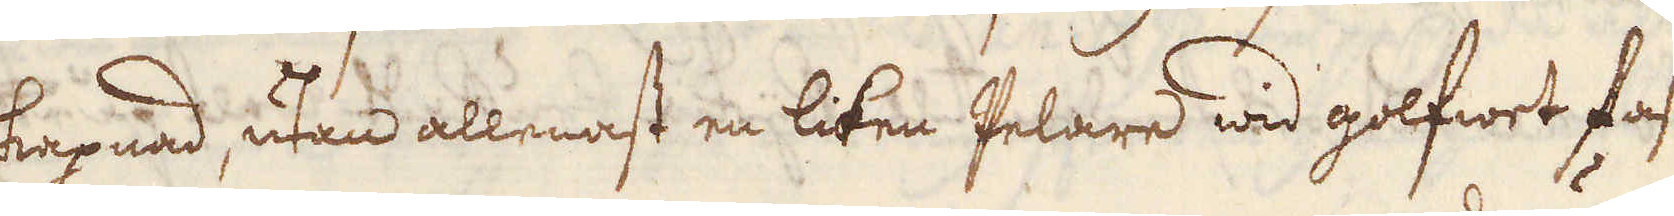se ell: skapnad, utan allenast en liten pelare wid golfwet fast-
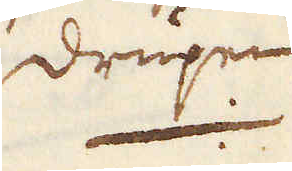drupen,
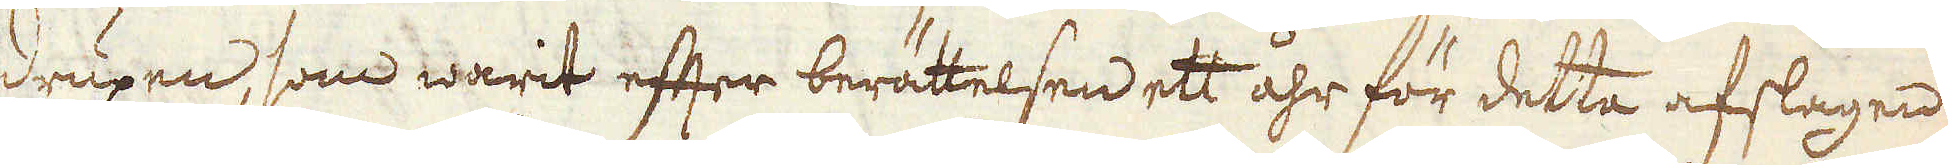drupen, som warit efter berättelsen ett åhr för detta afslagen,
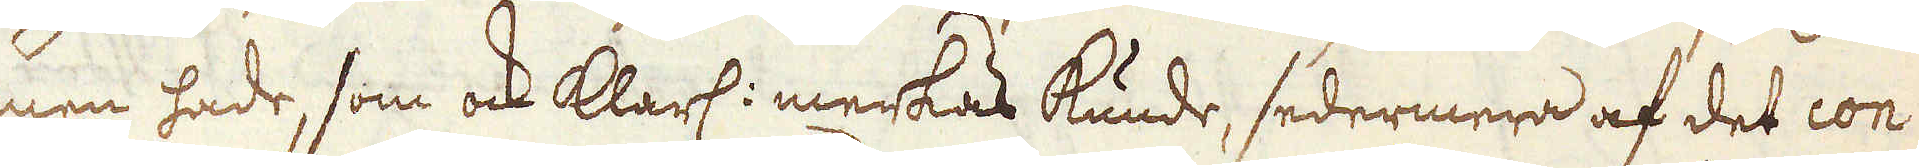men hade, som ock klarl: merkas kunde, sedermera af det con-
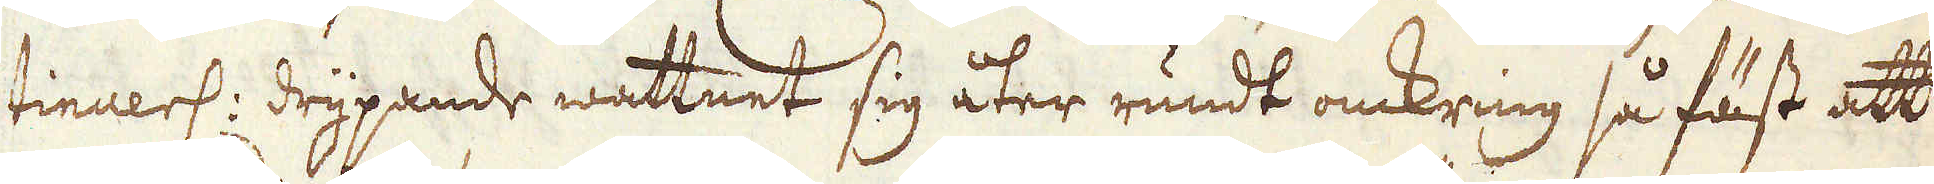tinuerl: drypande wattnet sig åter rundt omkring så fäst att
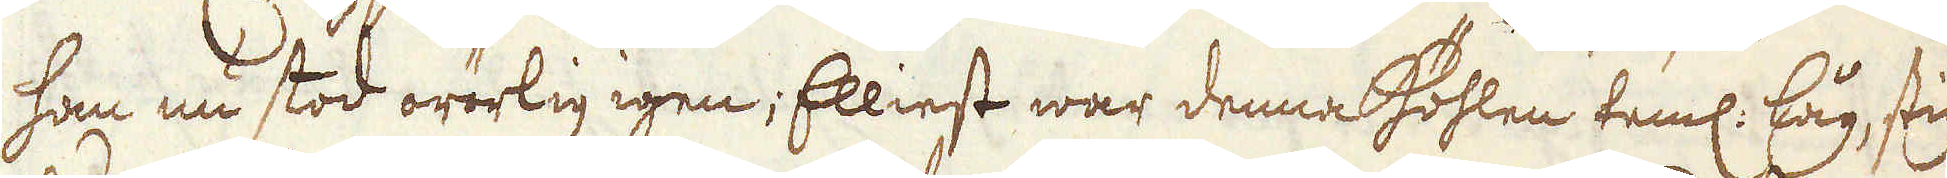han nu stod orörlig igen, Elliest war denna Höhlen täml. låg, stigan-
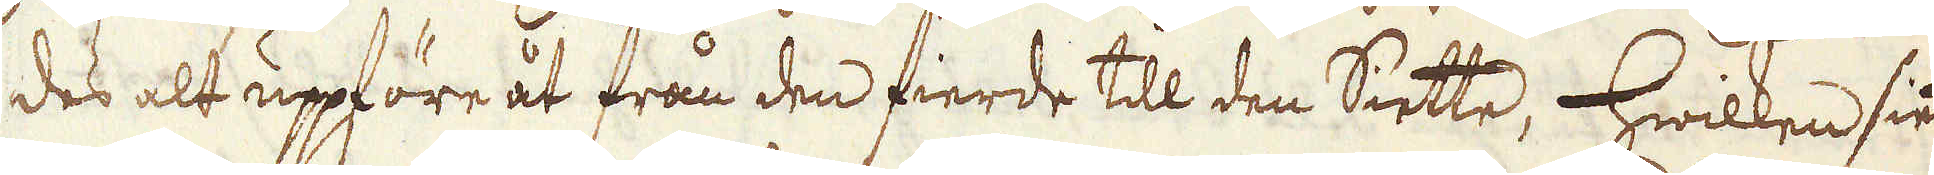des alt uppföre åt från den fierde till den Siette, hwilken siette
